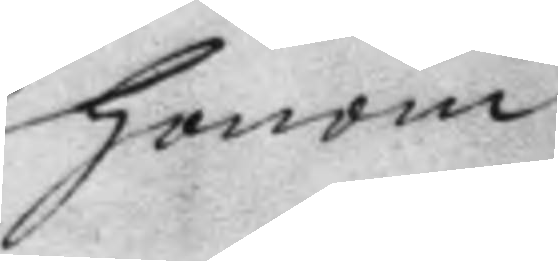honom
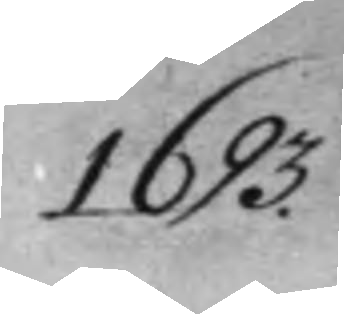1693.
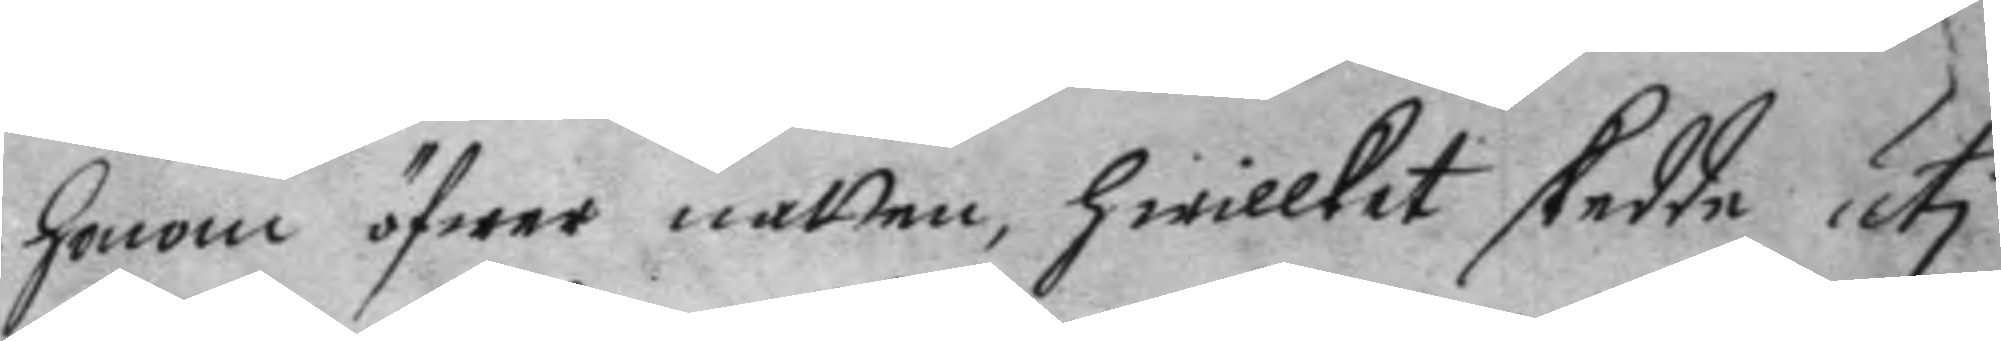honom öfwer natten, hwillket skedde uti
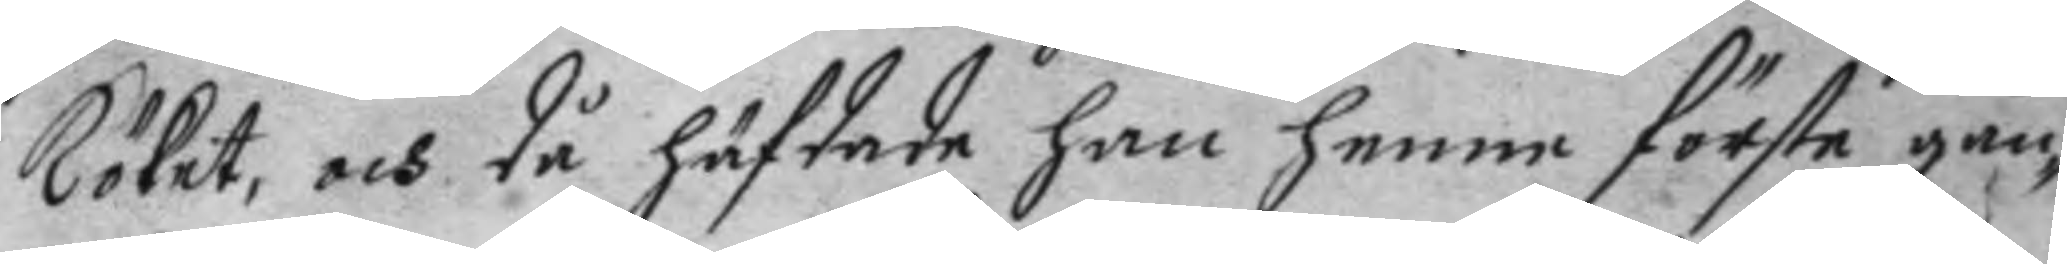köket, och då häfdade han henne första gån¬
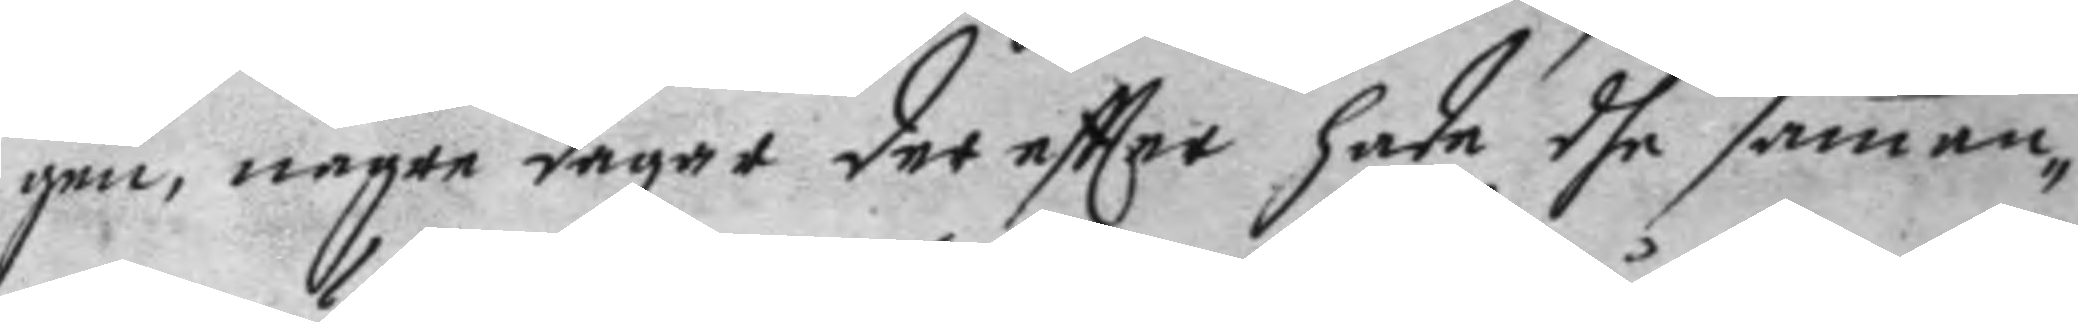gen, några dagar der eftter hade dhe samen¬
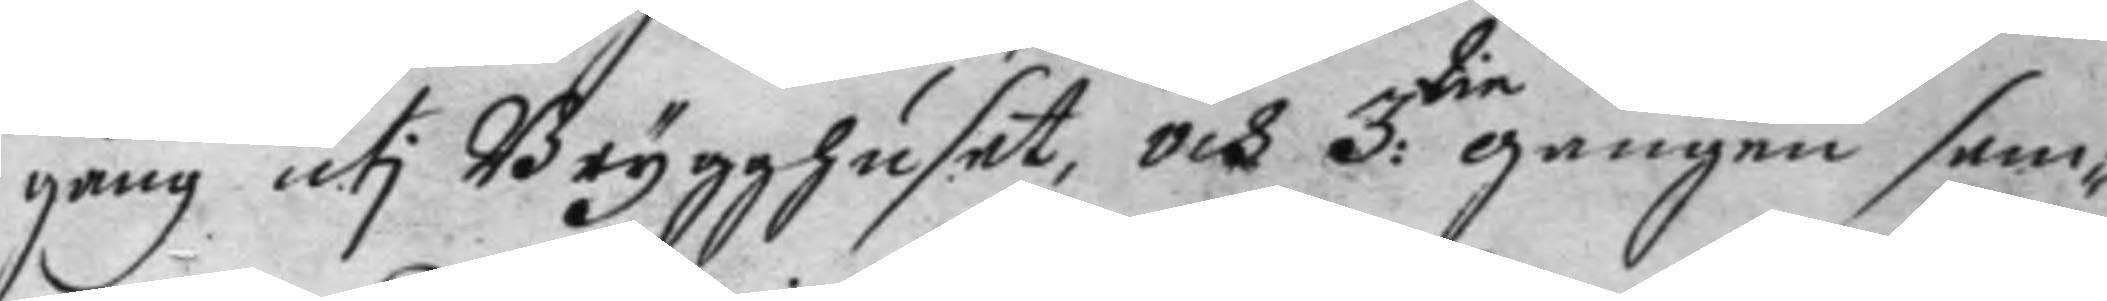gång uti Brygghuset, och 3:die gången sam¬
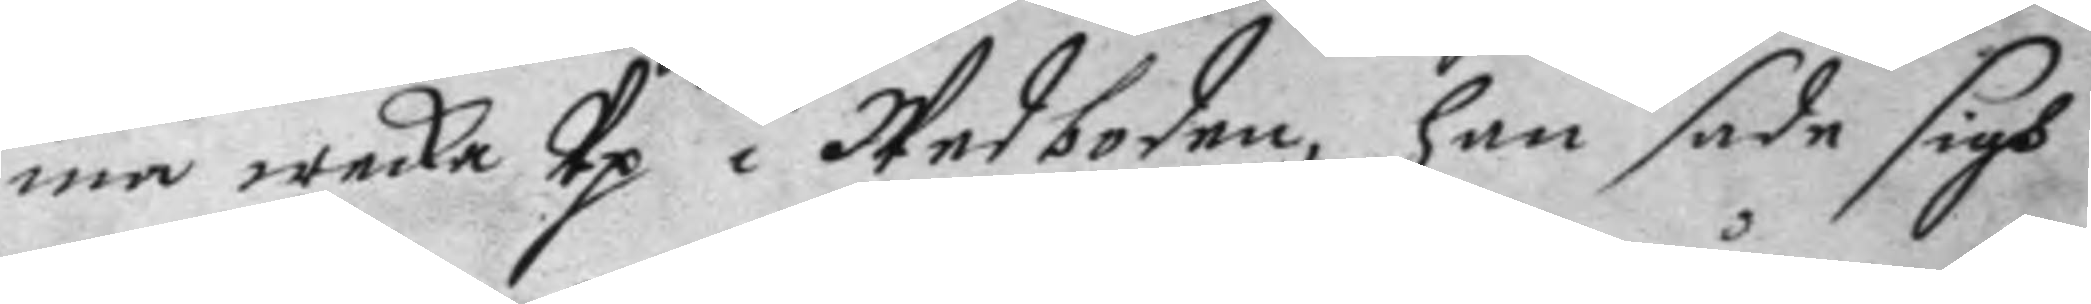ma wecka Up i Wedboden, han sade sigh
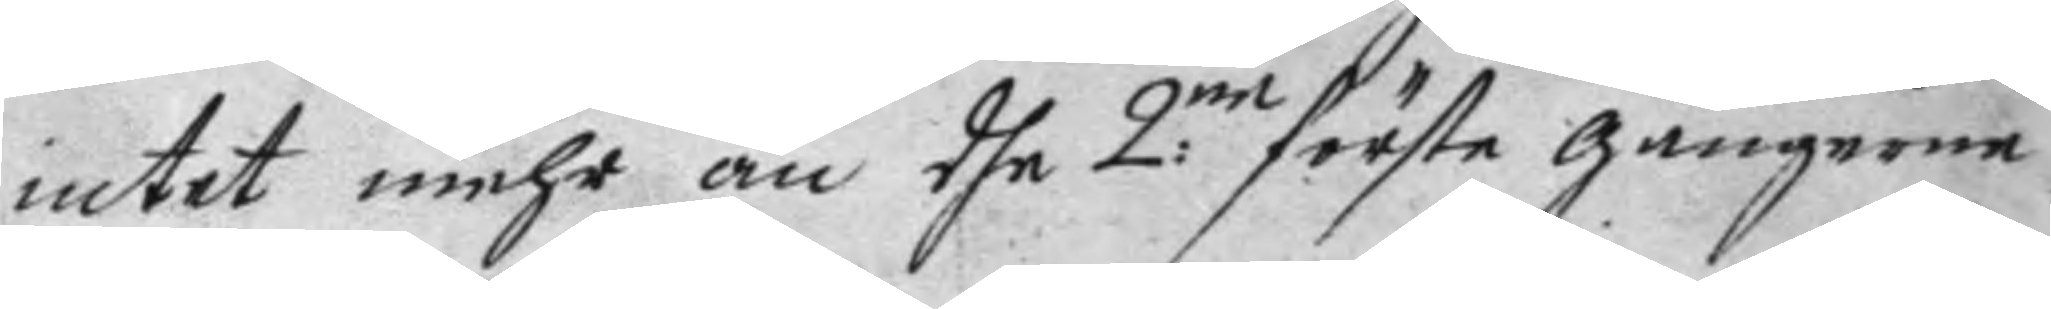intet mehr än dhe 2:ne förste gångerne
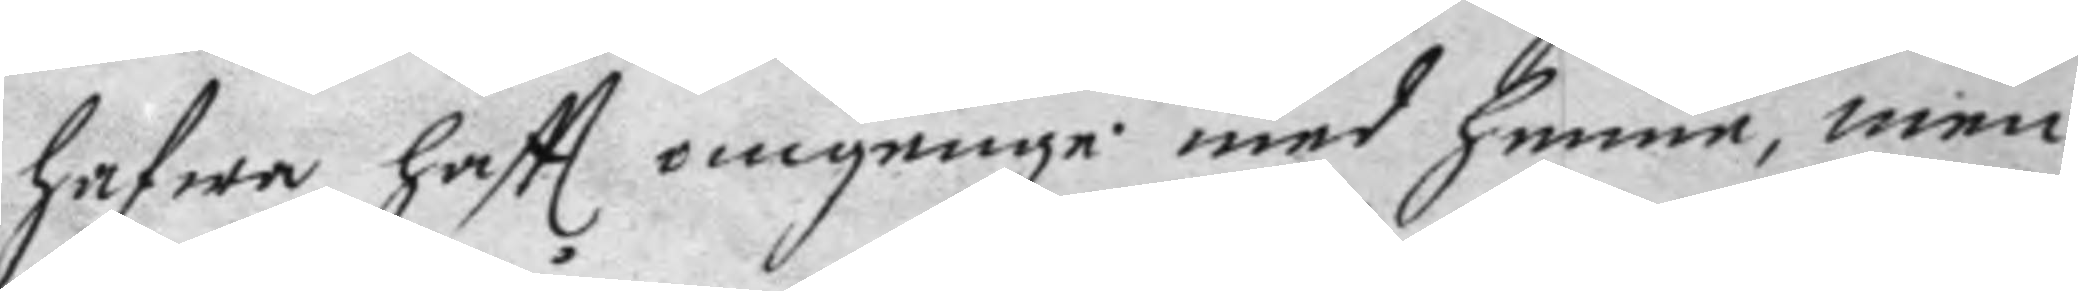hafwa haftt omgenge med henne, men
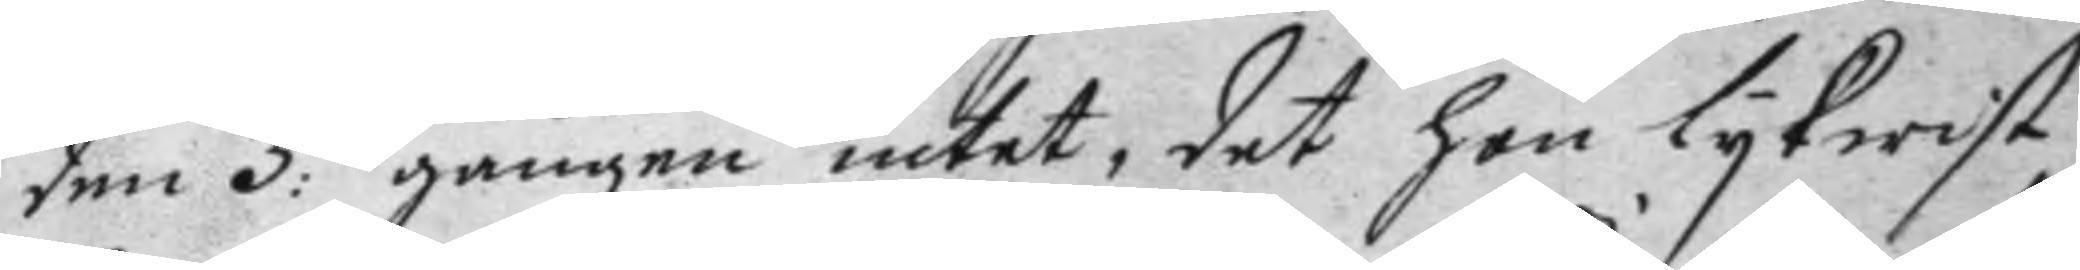den 3:die gången intet, det hon lykwist
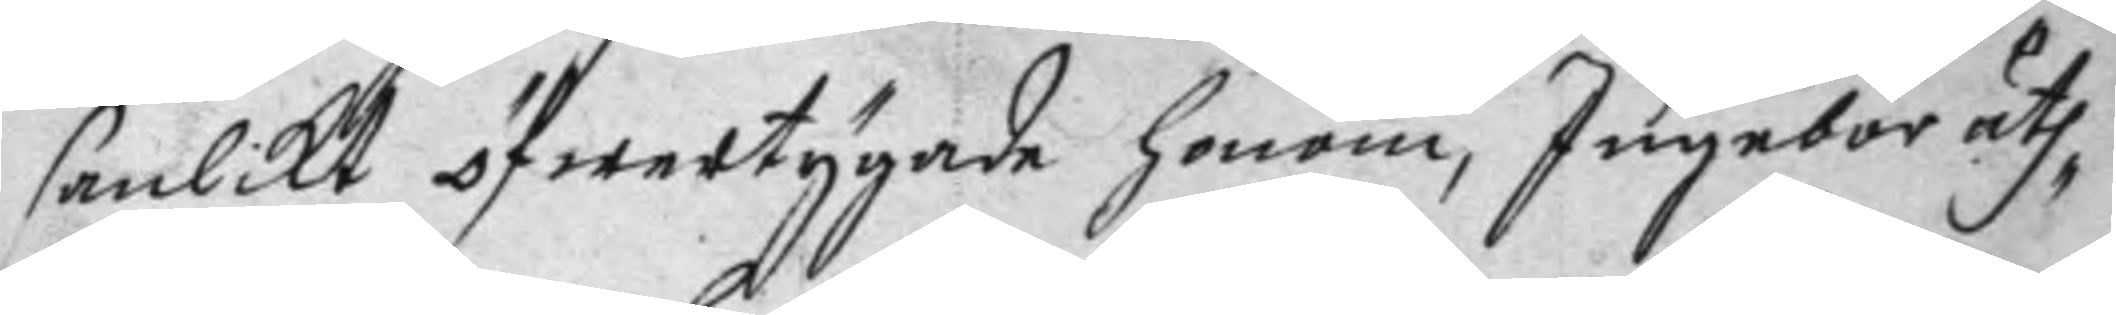sanlikt öfwertygade honom, Ingebor uth¬
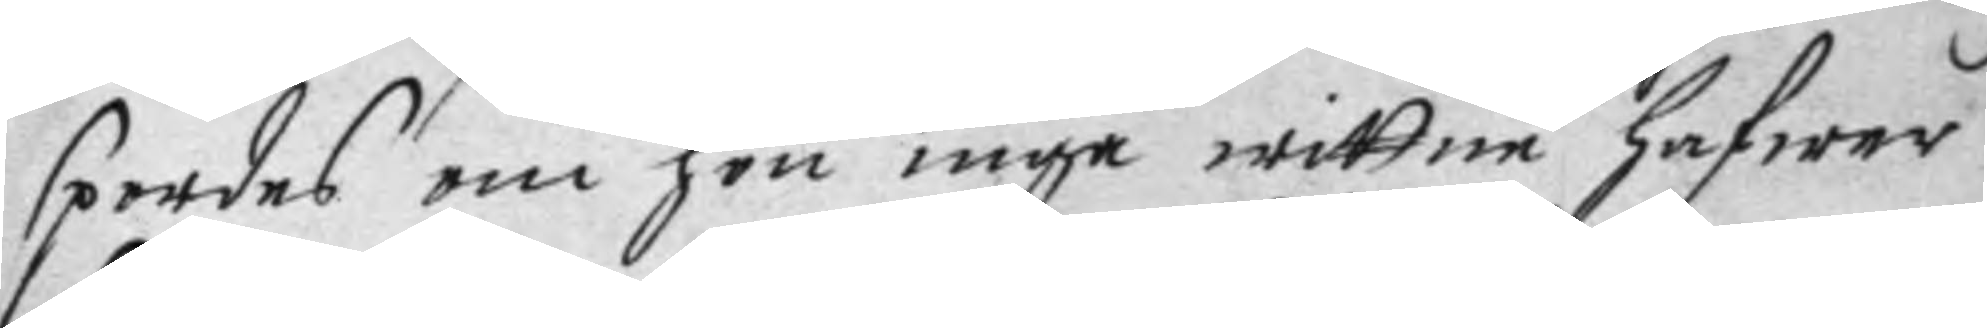spordes om hon inga wittne jafwer
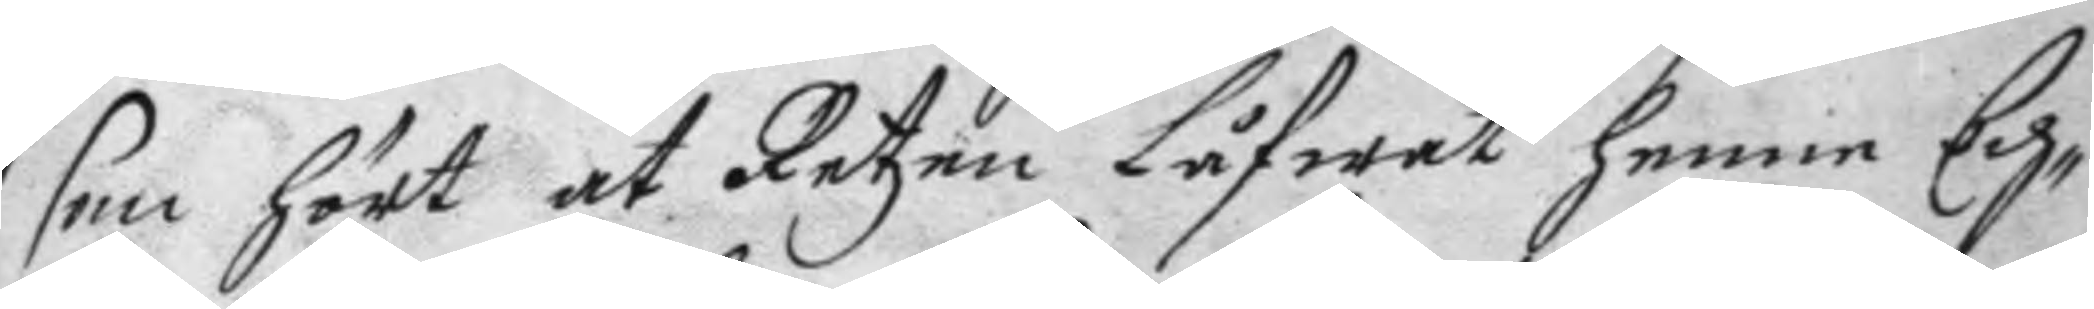som hört at Retzen Låfwat henne Ech¬
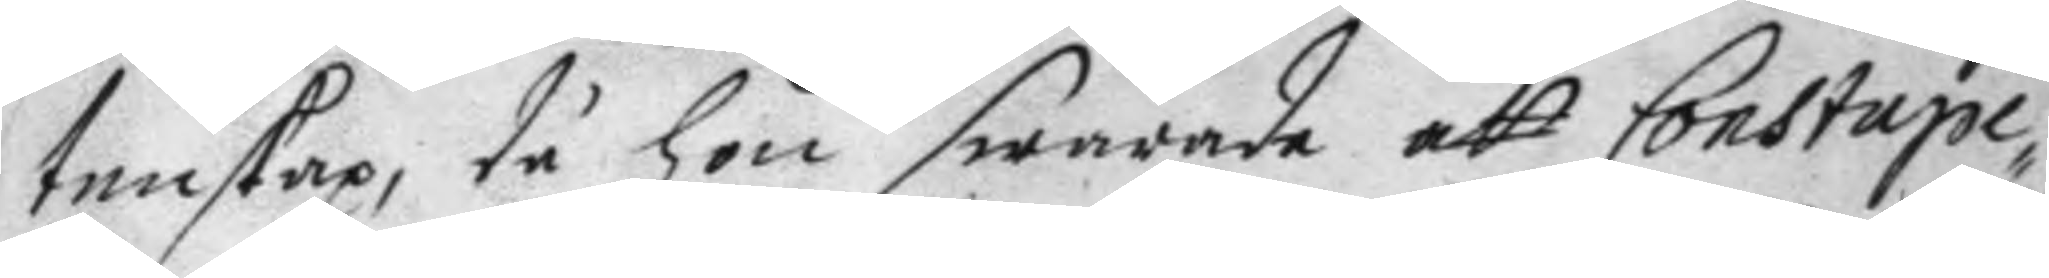tenskap, då hon swrade att Constape¬
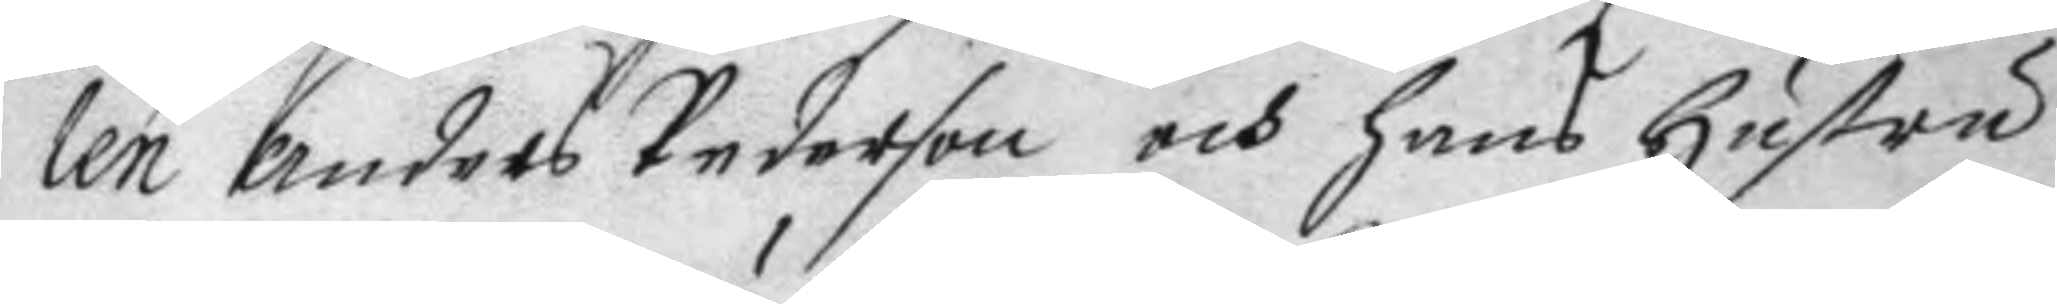len anders Pederson och hans hustru
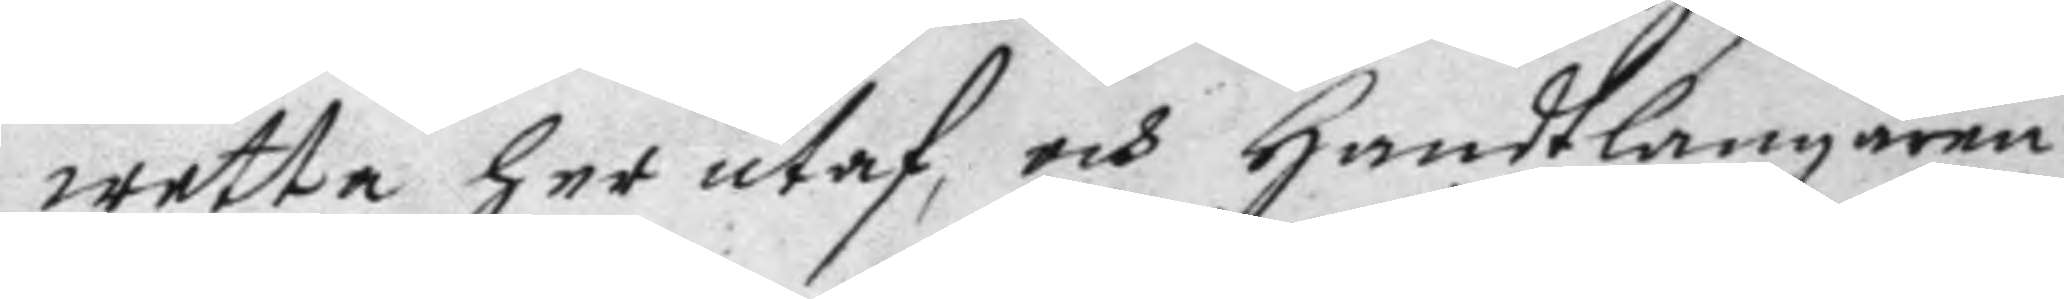wetta her utaf, och handtlangaren
